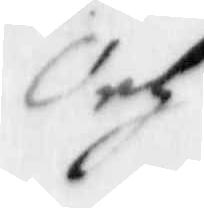Och
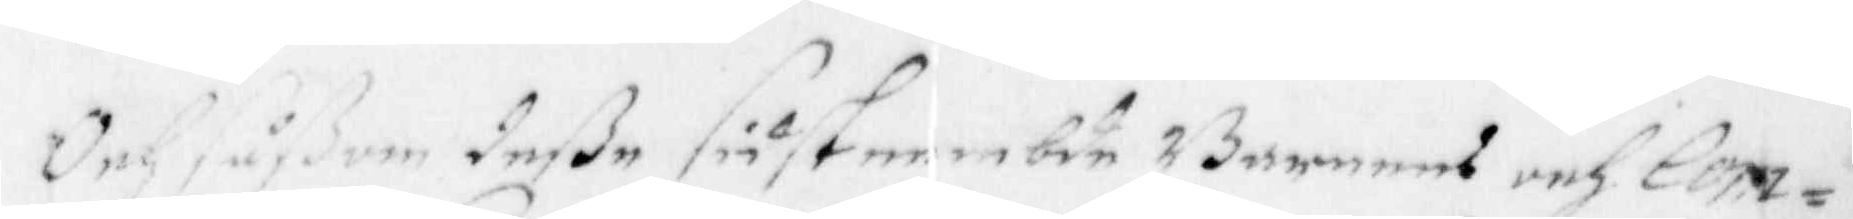Och såßom deße siist nembde Barneens och Com¬
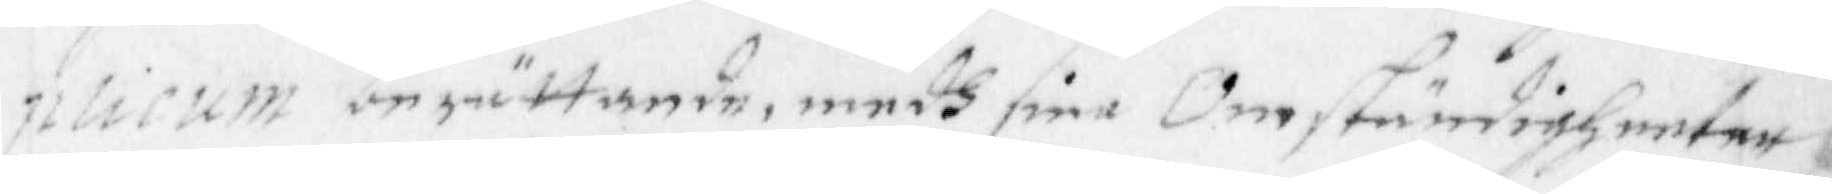plicum berättande, medh sine Omständigheeter
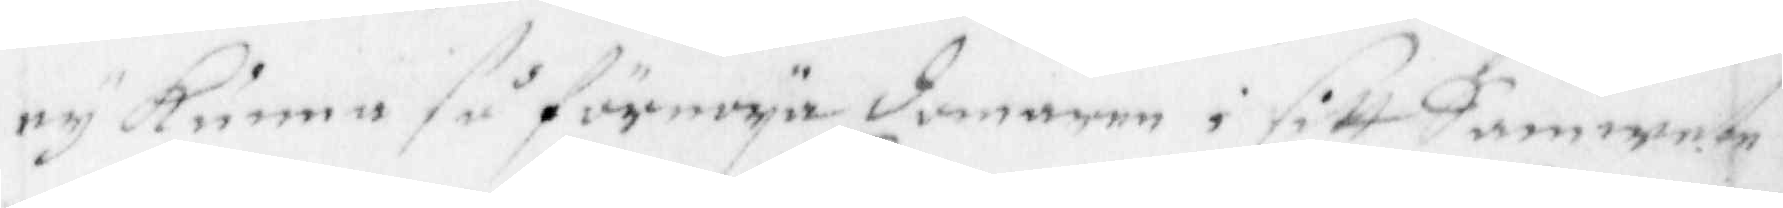ey Kunna så förnoya domaren i sitt Samwete
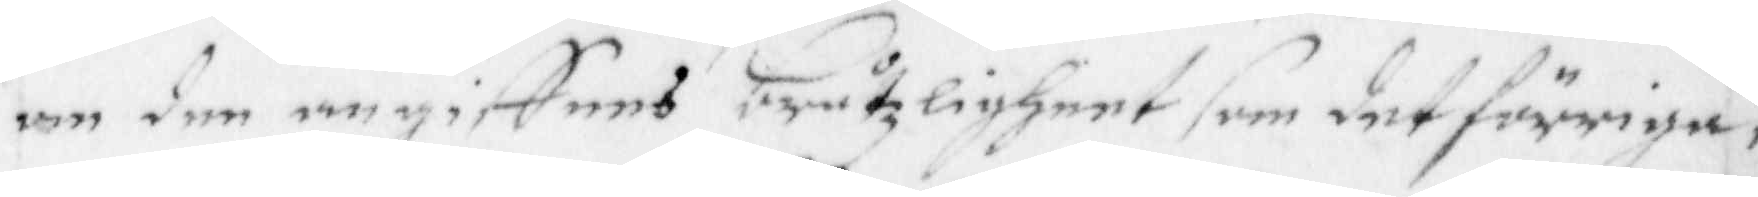om den angiffnes bråtzligheet som det förriga,
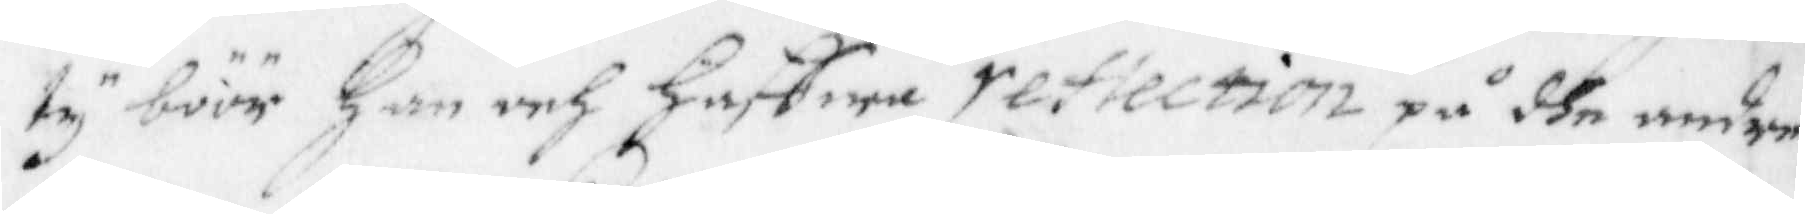ty böör Han och Haffwa reflection på dhe undan
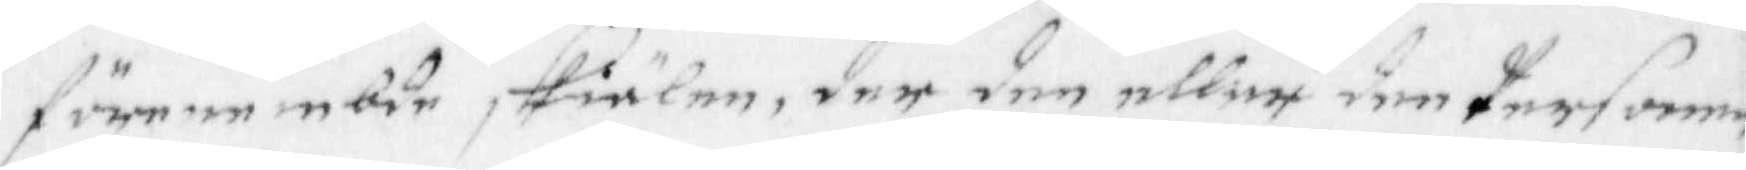förenembde skiälen, der den eller den personen
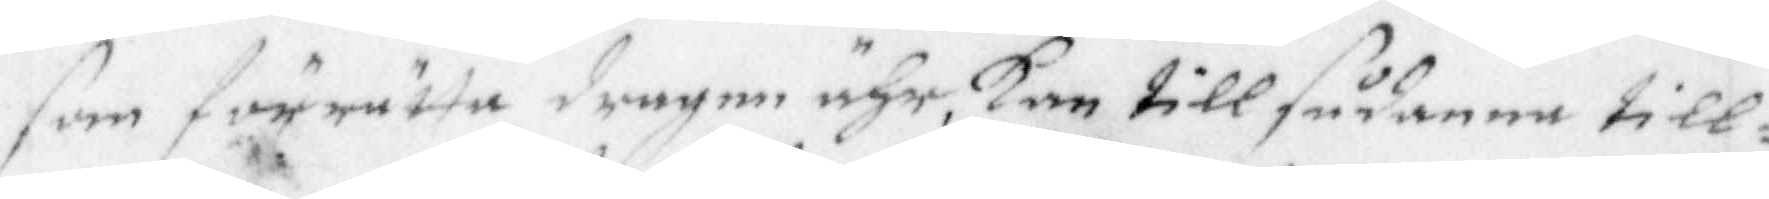som förrätta dragen ähr, kan till sådande till¬
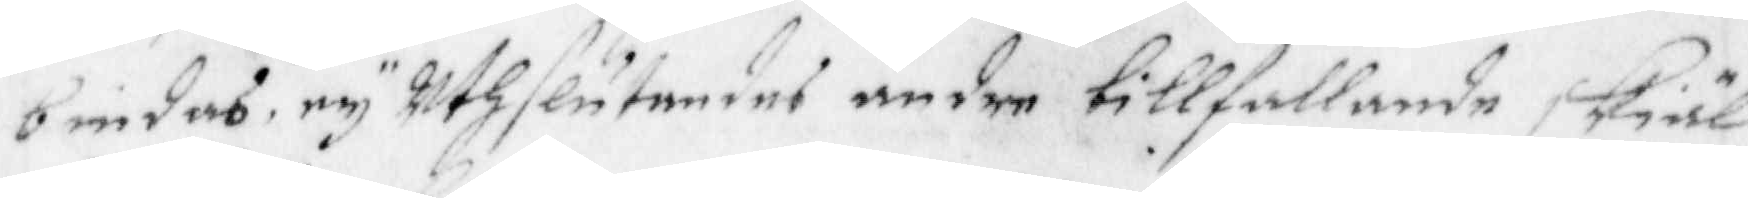biedas, ey Uthslutandes andre tillfallande skiäl
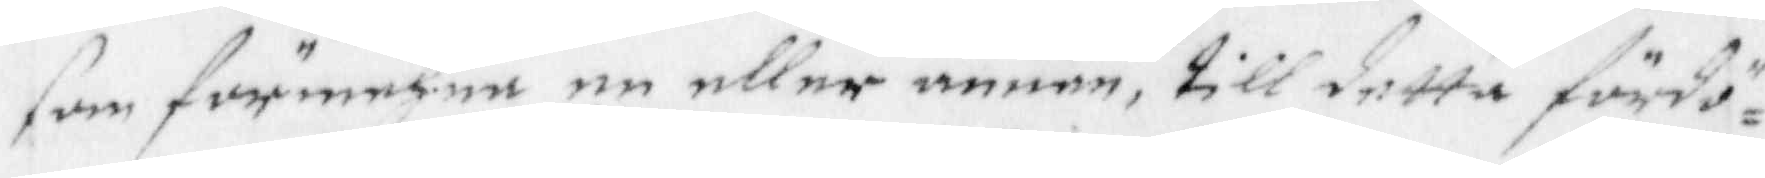som förmeher en eller annan till detta fördö¬
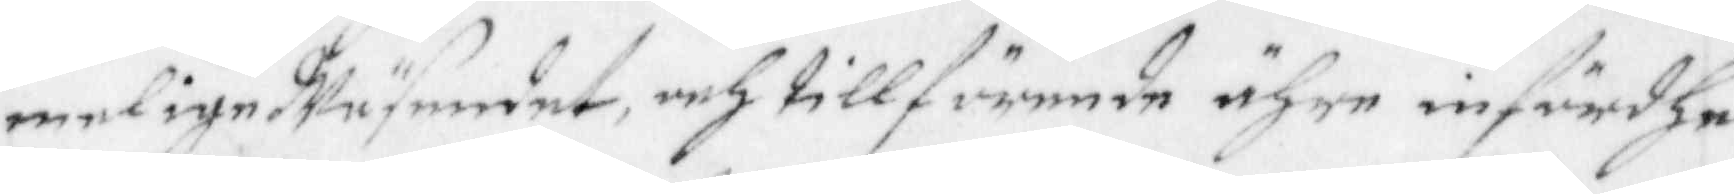melige Wäsendet, och tillförende ähre infördhe
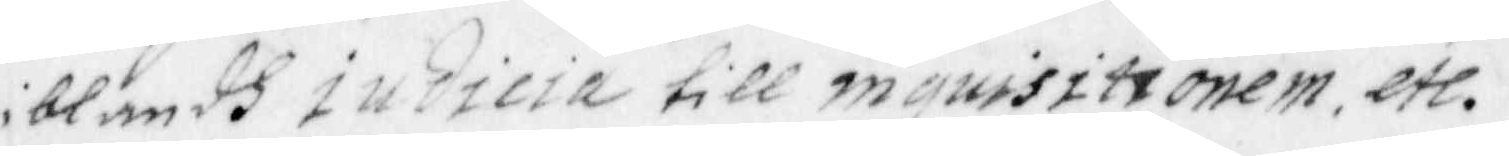iblandh iudicia till inquisitionen, etc.
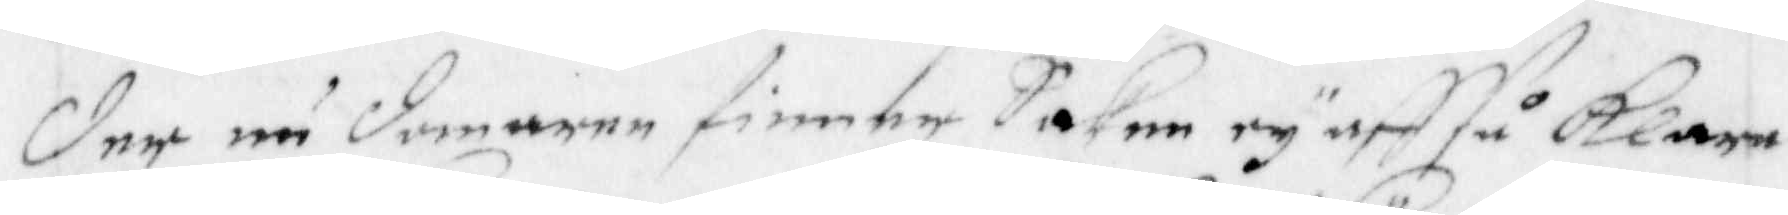der nu domaren finner Saken ey aff så Klara
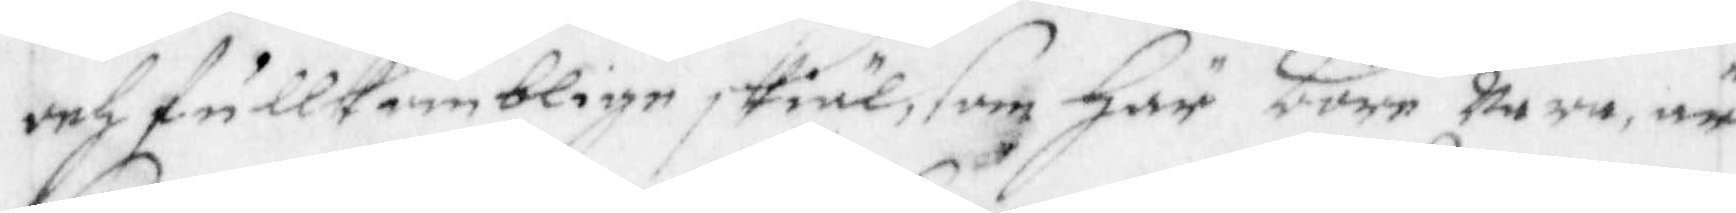och fullkomblige skiäl, som här böre wara, är
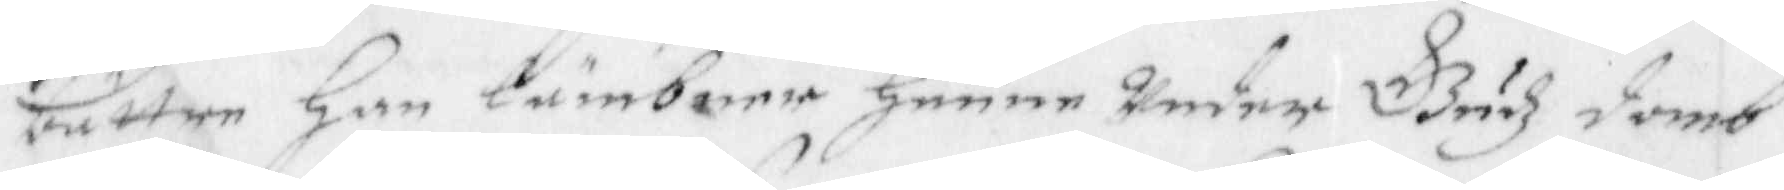bättre han lämbner henne under Gudz domb
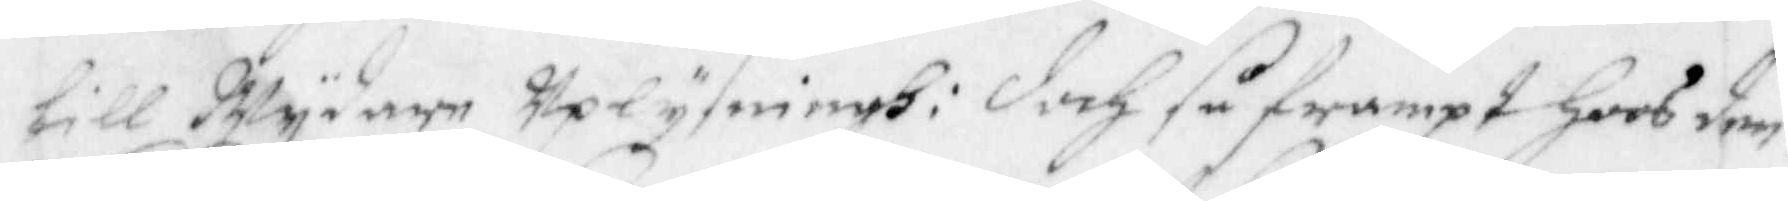till Wydare Uplysningh: doch så frampt joos den
